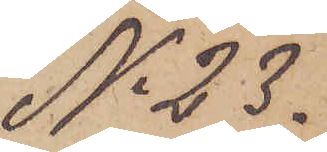No 23.
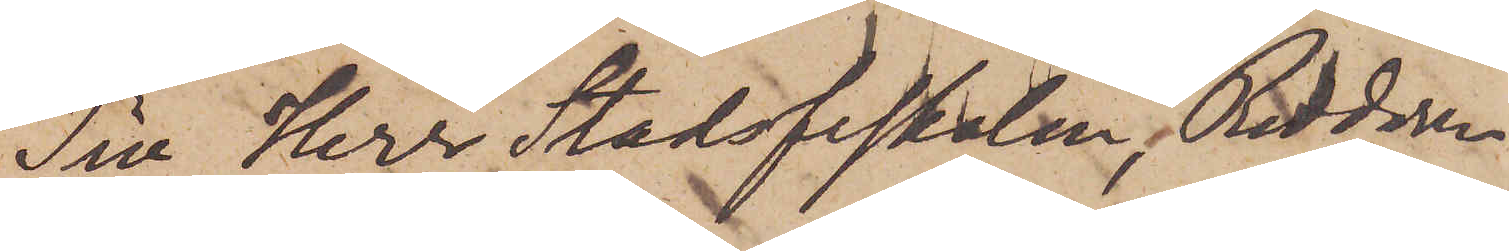Till Herr Stadsfiskalen, Riddaren
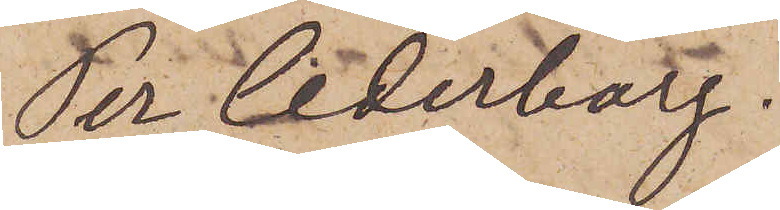Per Cederborg.
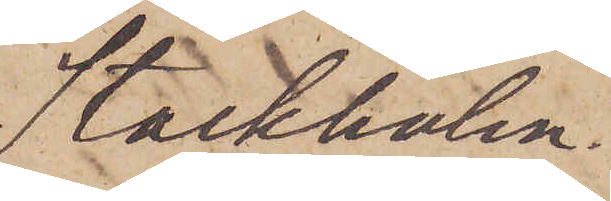Stockholm.
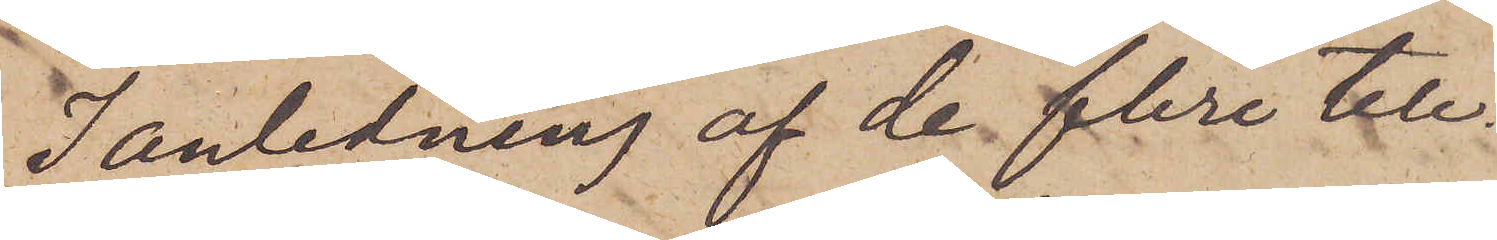I anledning af de flere tele¬
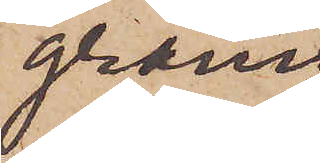gram
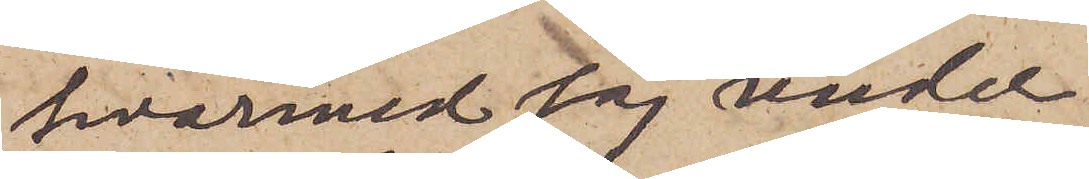hvarmed jag under
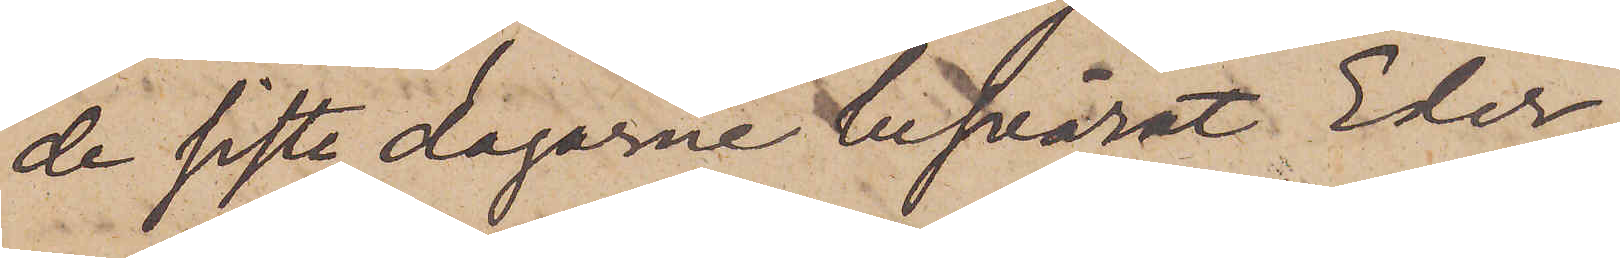de siste dagarne besvärat Eder,
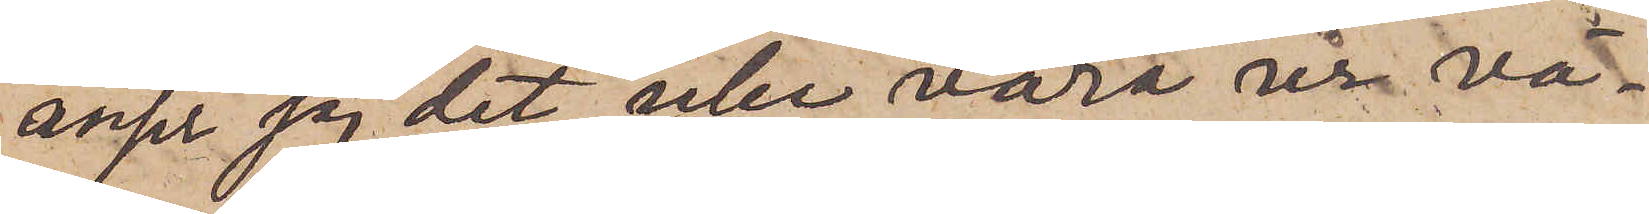anser jag det icke vara ur vä¬
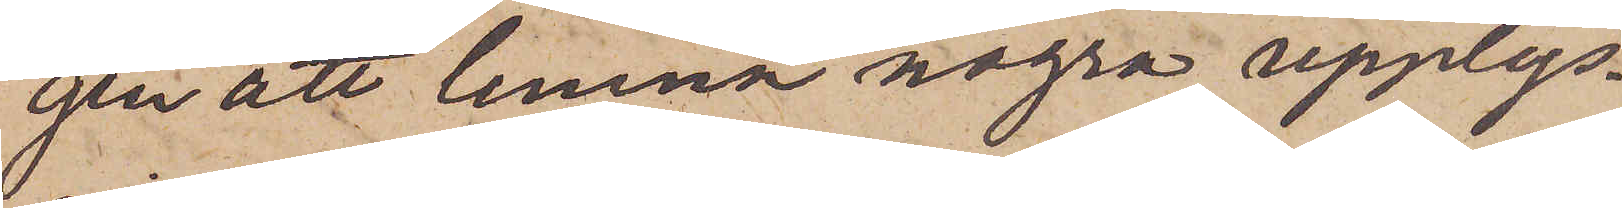gen att lemna några upplys¬
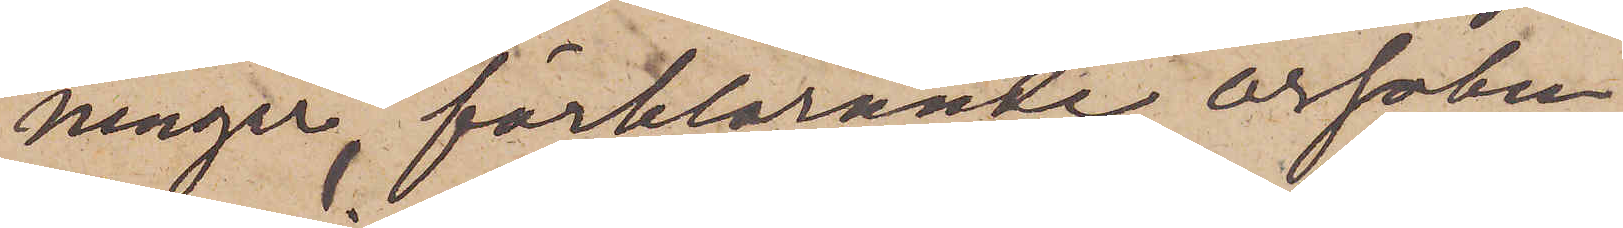ningar, förklarande orsaken
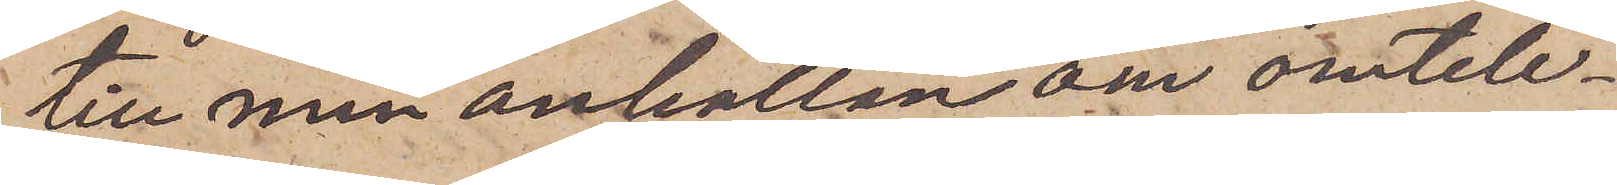till min anhållen om omtele¬
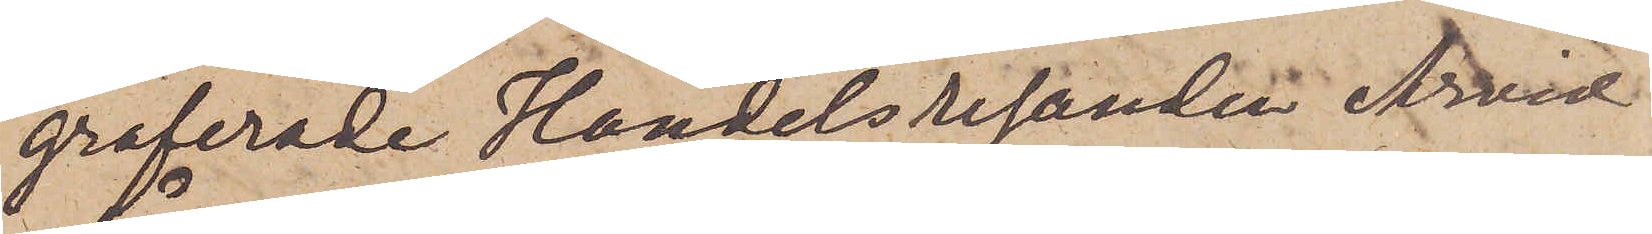graferade Handelsresanden Arvid
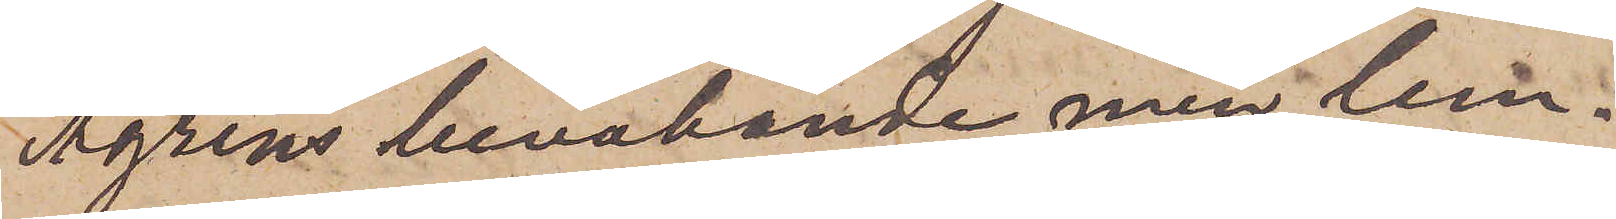Ågrens bevakande men lem¬
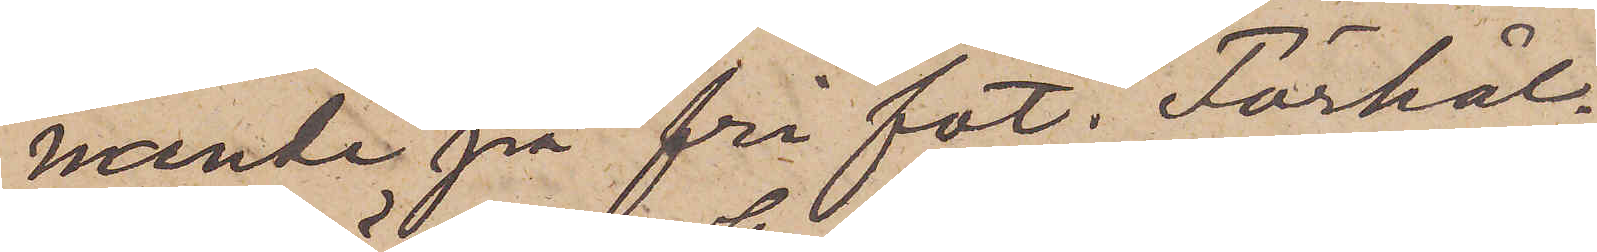nande på fri fot. Förhål¬
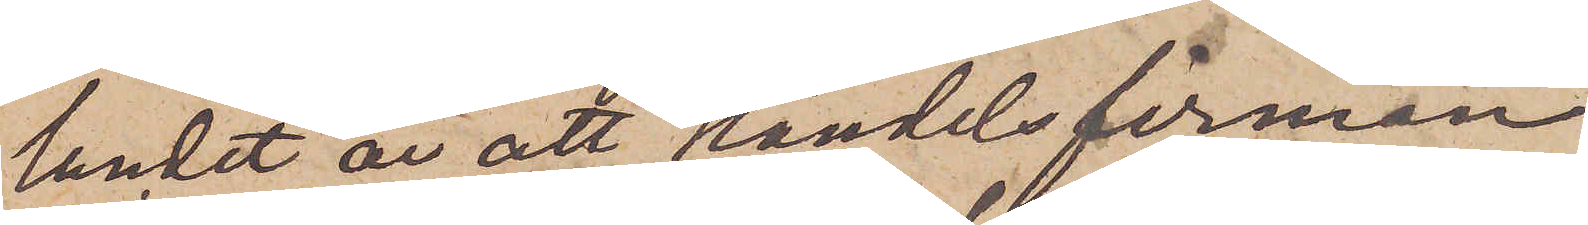landet är att handelsfirman
